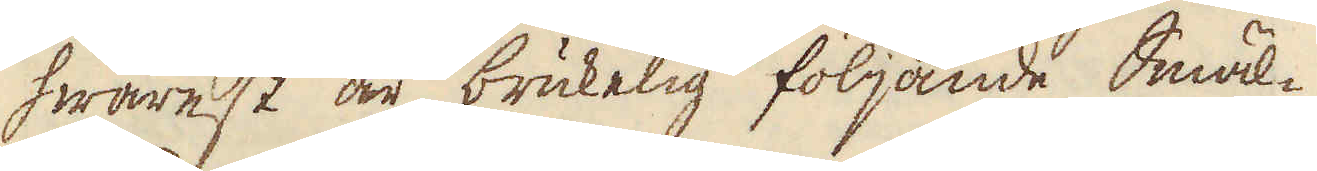hwarest är brukelig följande Smäl-
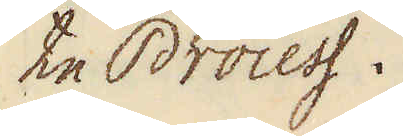te Process.
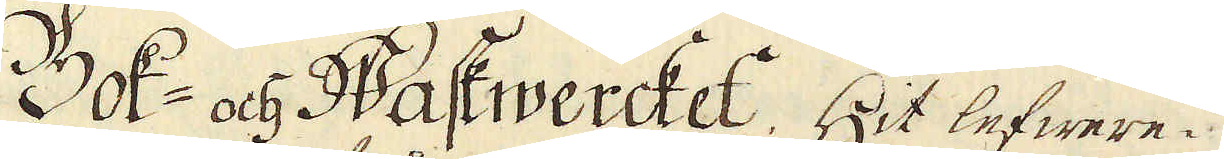Bok och Waskwercket. Hit lefwere-
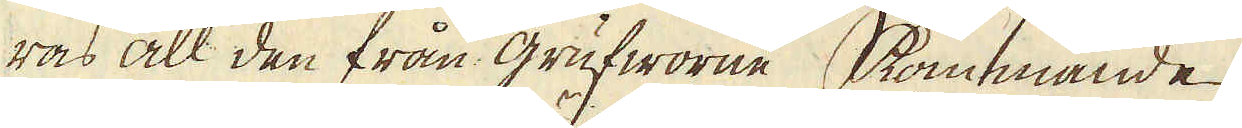ras all den från grufworne kommande
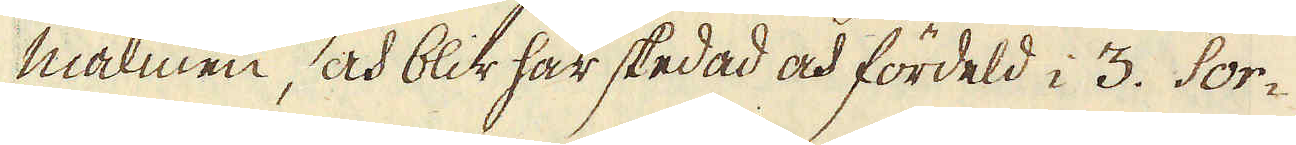malmen, och blir här skedad och fördeld i 3. Sor-
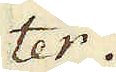ter.
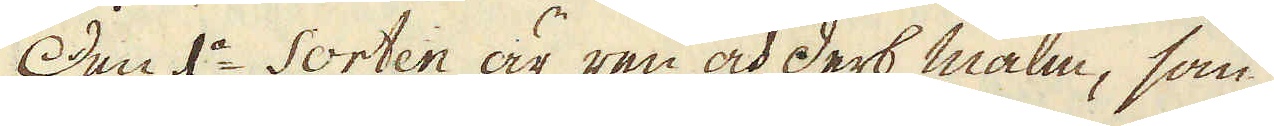Den 1a Sorten är ren och derb malm, som
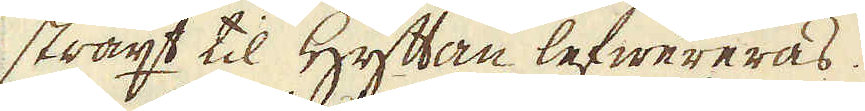straxt til Hyttan lefwereras.
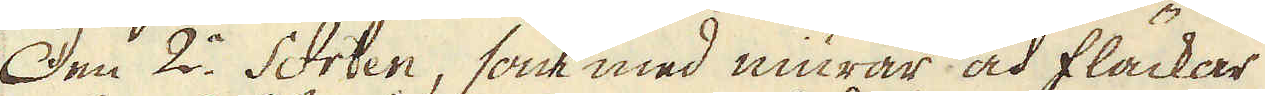Den 2a Sorten, som med niurar och fläckar
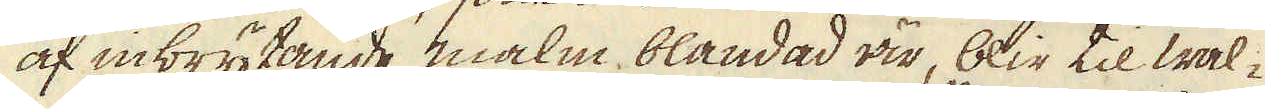af inbrytande malm, blandad är, blir til wal-
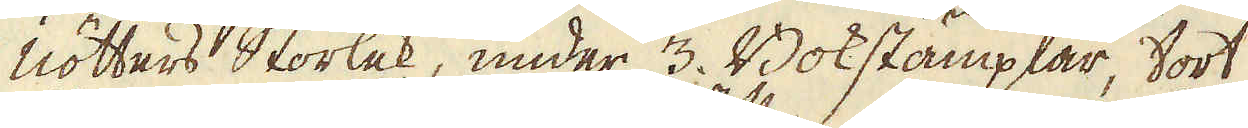nötters Storlek, under 3. Bökstämplar, tort
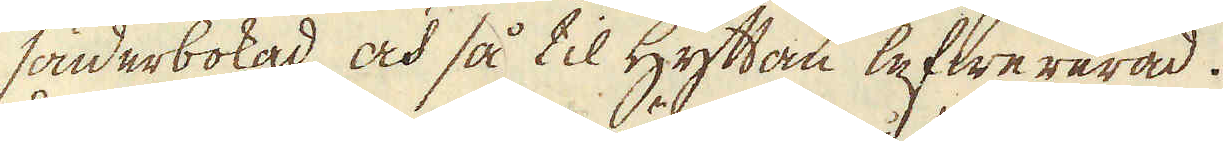sönderbokad, och så til Hyttan lefwererad.
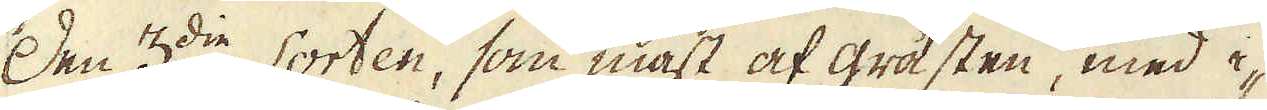Den 3die Sorten, som mäst af gråsten, med i-
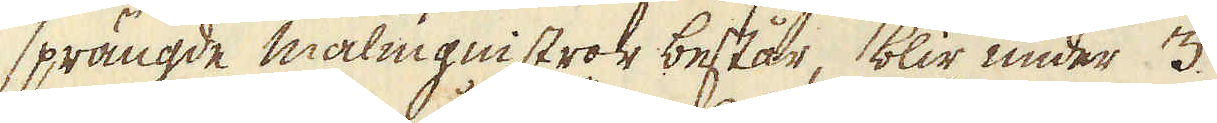sprängde malmgnistror består, blir under 3.
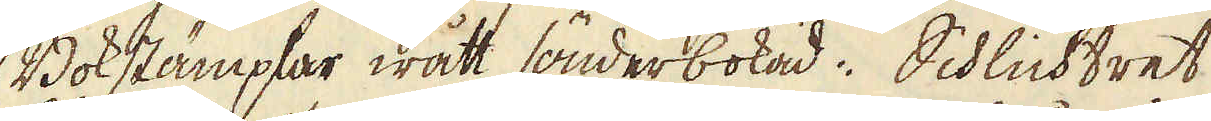Bokstämplar wått sönderbokad. Schlichtret
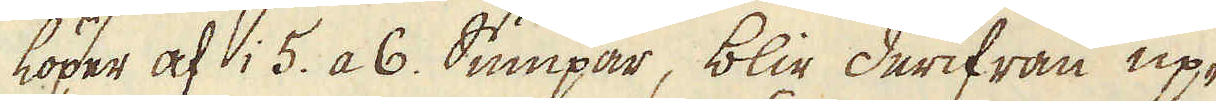löper af i 5. a 6. Sumpar, blir derifrån up-
